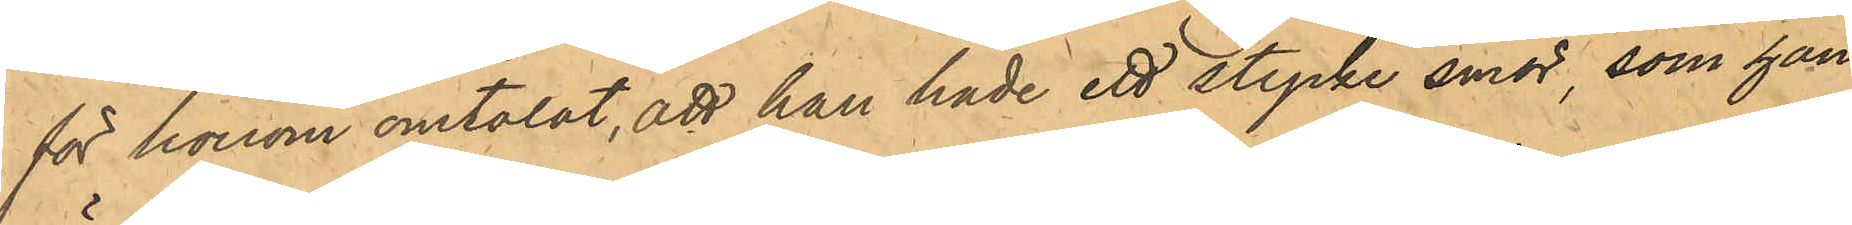för honom omtalat, att han hade ett stycke smör, som han 
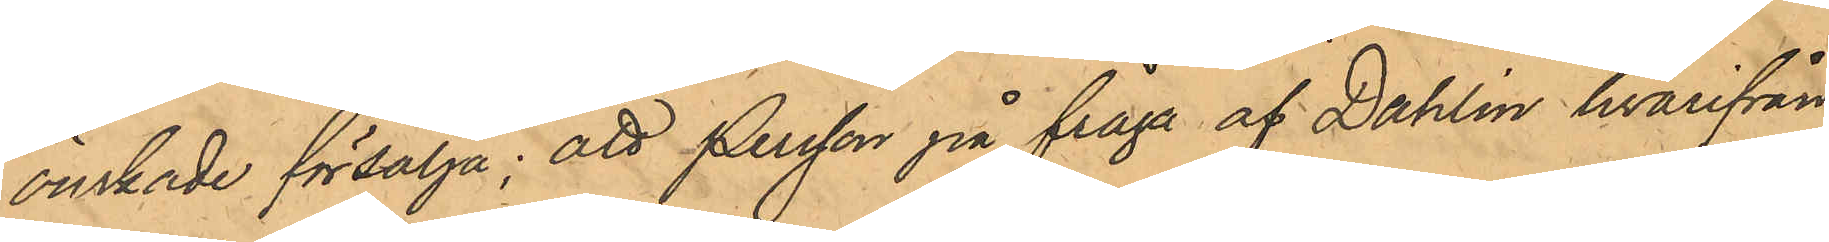önskade försälja; att Persson på fråga af Dahlin hvarifrån
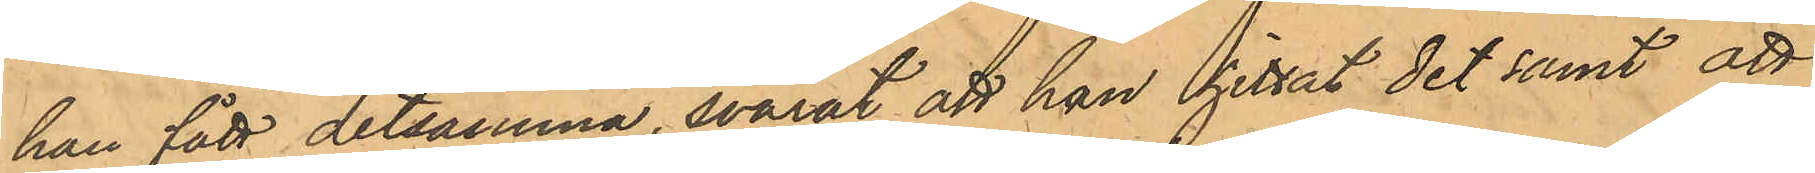han fått detsamma, svarat att han hittat det samt att
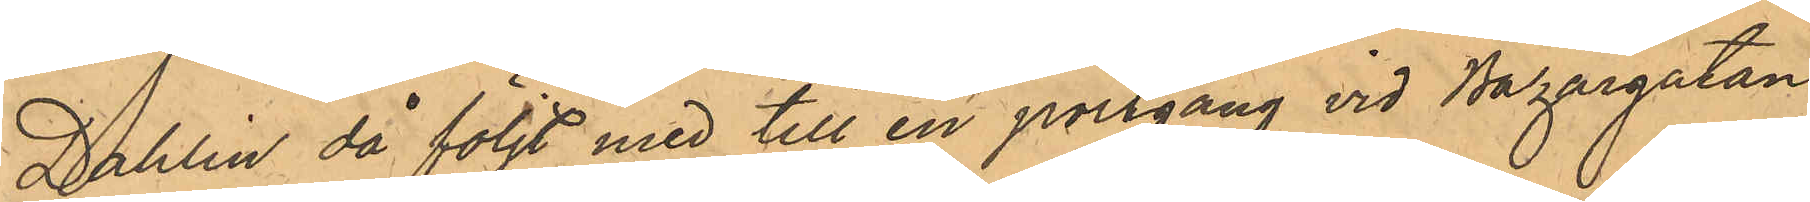Dahlin då följt med till en portgång vid Bazargatan,
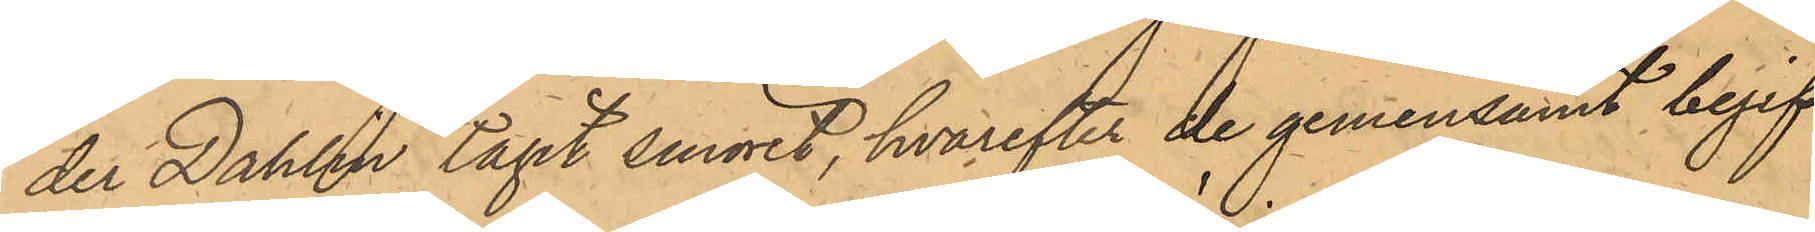der Dahlin tagit smöret, hvarefter de gemensamt begif¬
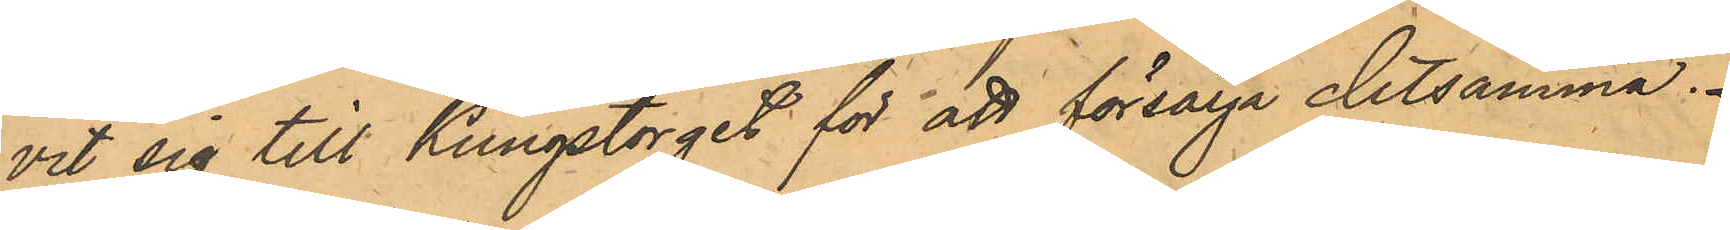vit sig till Kungstorget för att försälja detsamma.
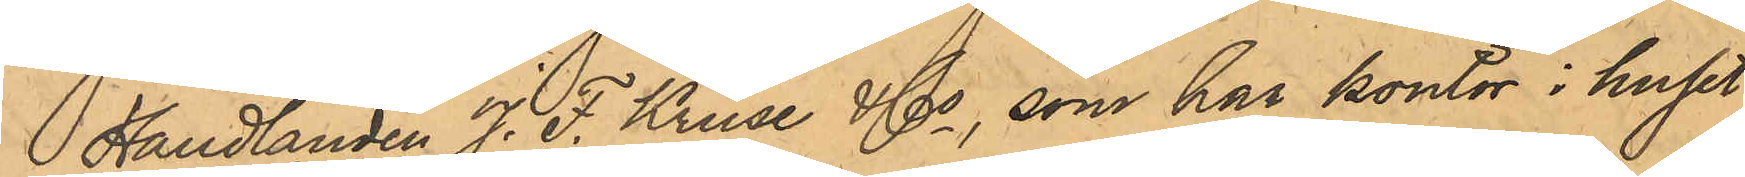Handlanden J. F. Kruse & Co, som har kontor i huset
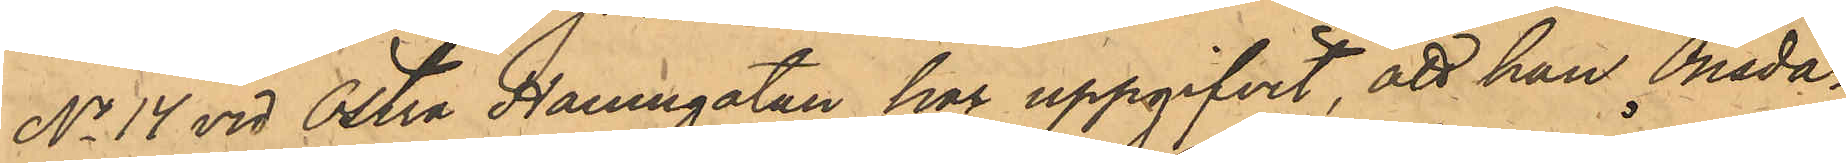No 14 vid Östra Hamngatan har uppgifvit, att han Onsda¬
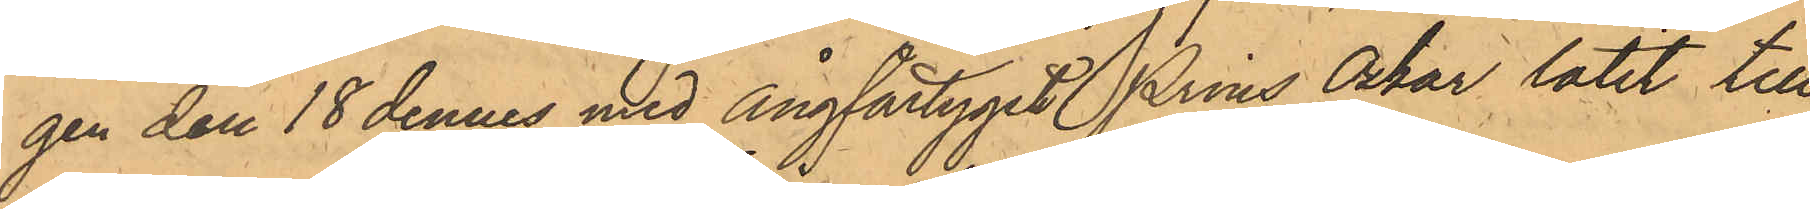gen den 18 dennes med Ångfartyget Prins Oskar låtit till
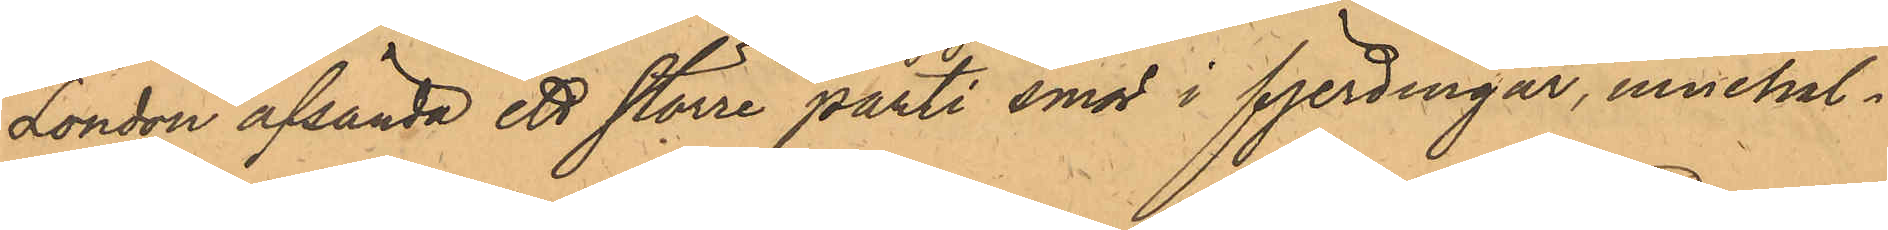London afsända ett större parti fjerdingar, innehål¬
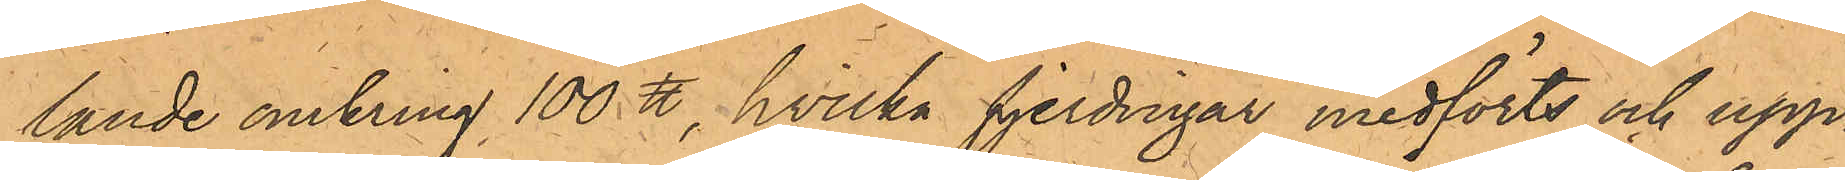lande omkring 100 ℔, hvilka fjerdingar medförts och upp¬
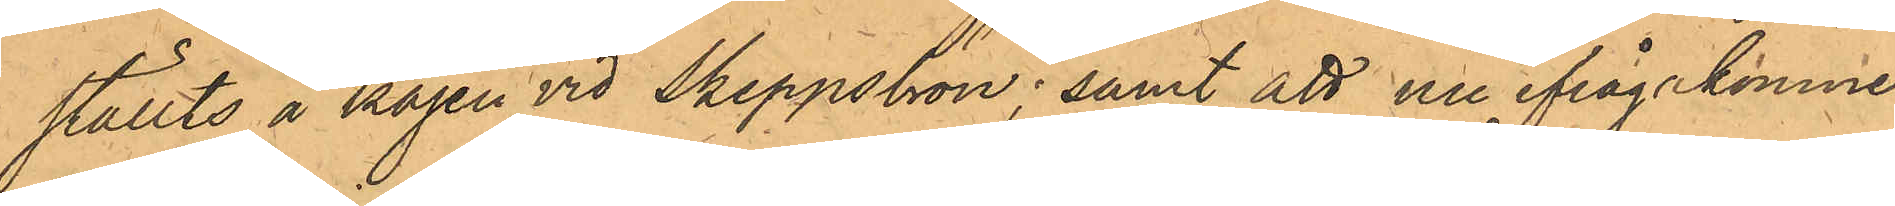ställts å kajen vid Skeppsbron; samt att nu ifrågakomne
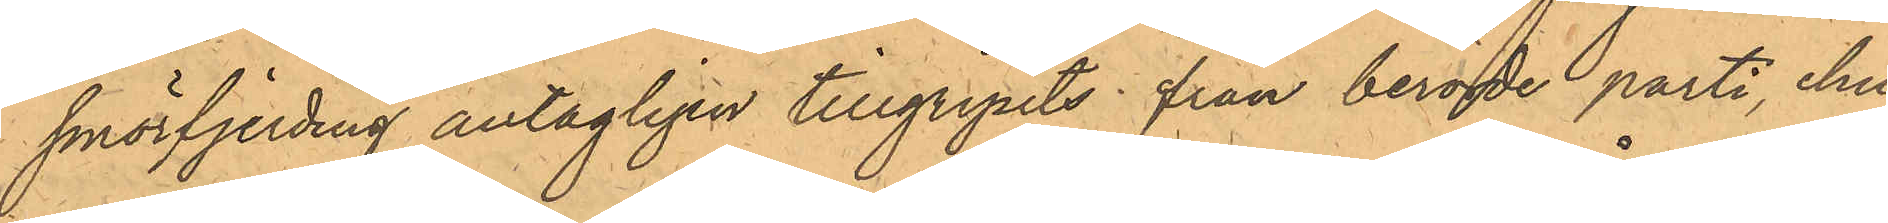smörfjerding antagligen tillgripits från berörde parti; ehu¬
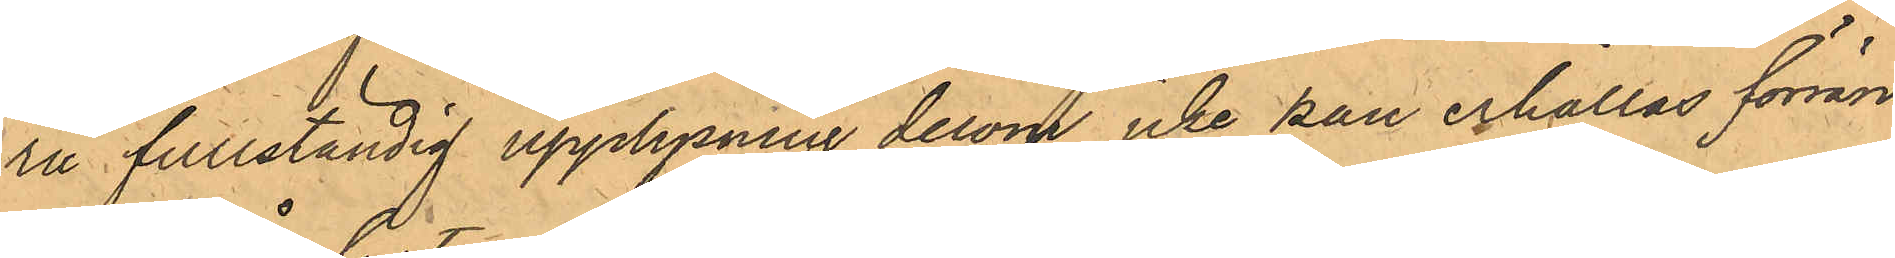ru fullständig upplysning derom icke kan erhållas förrän
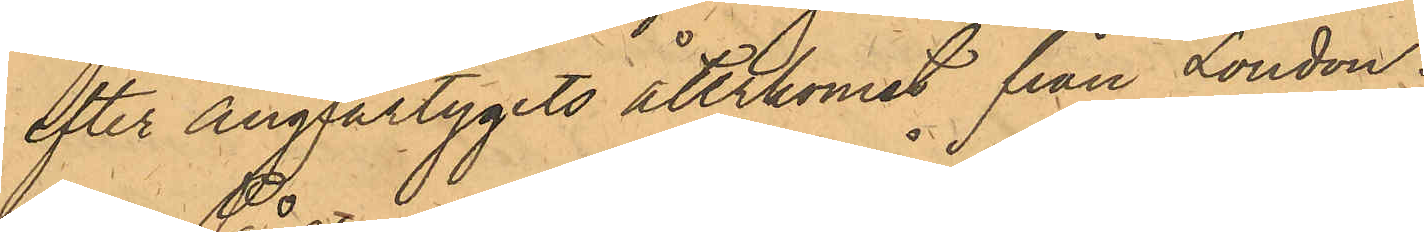efter ångfartygets återkomst från London.
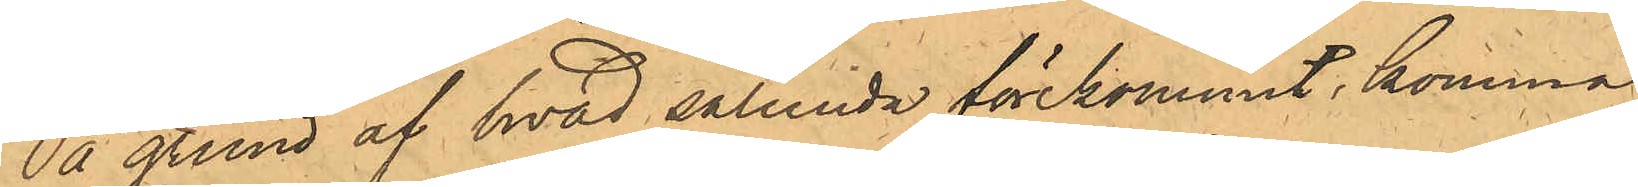På grund af hvad sålunda förekommit komma
